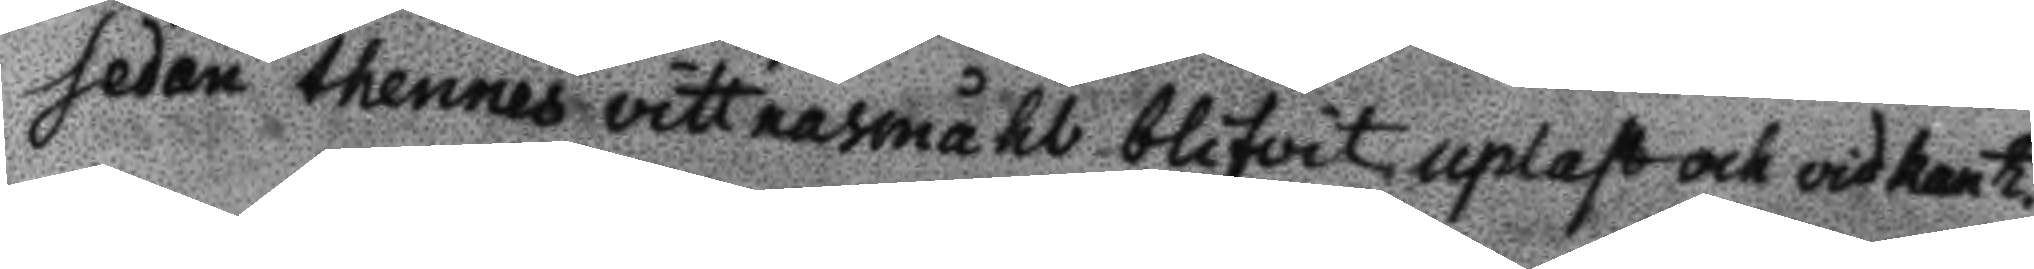sedan thennes vittnesmåhl blifvit uplast och vidkant.
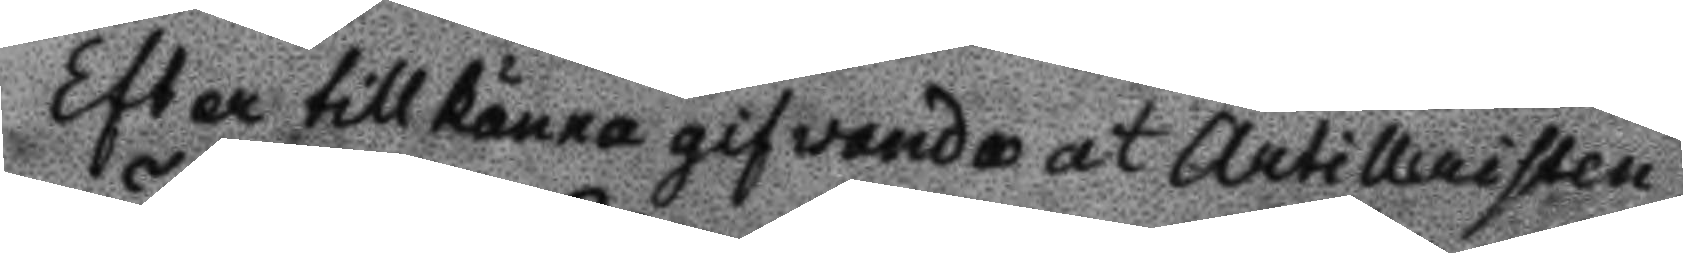Efter tillkännagifwande at Artilleristen
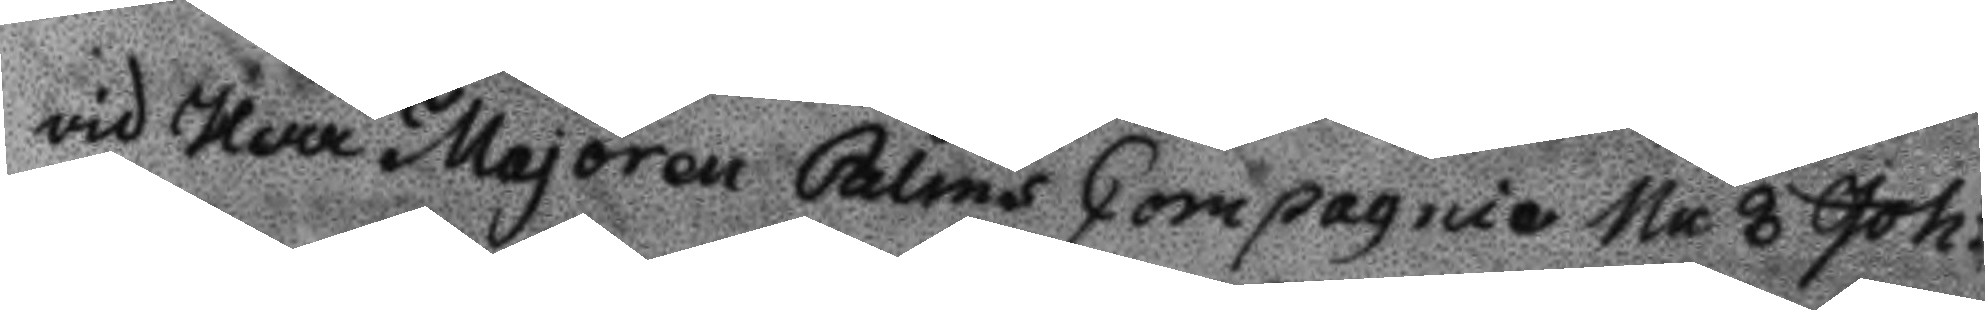vid Herr Majoren Palms Copmagnie Nr 8 Joh:
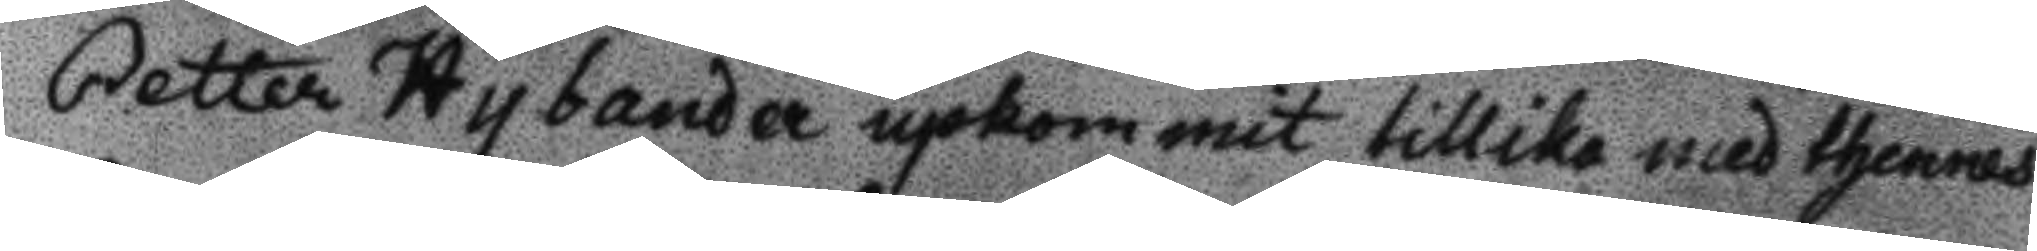Petter Hybander upkommit tillika med thennes
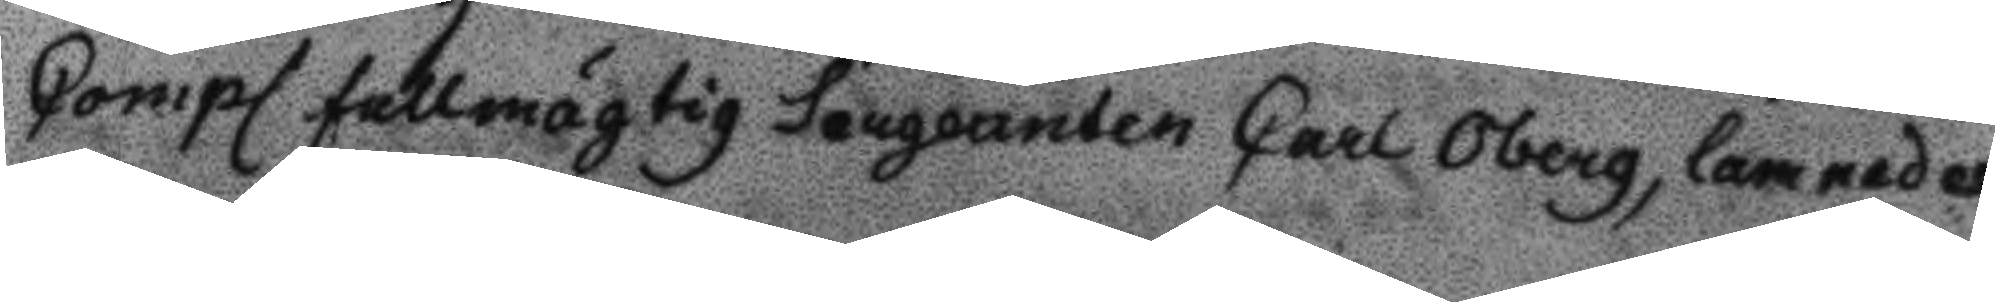Compl. fullmägtig sergeanten Carl Oberg, lamnades
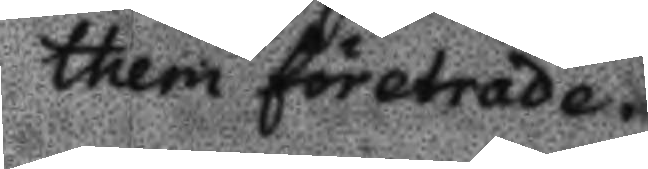them företräde.
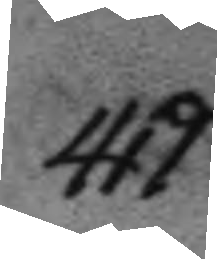419.
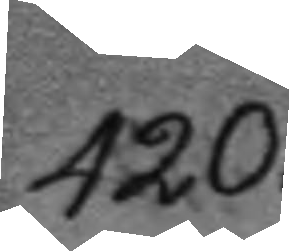420.
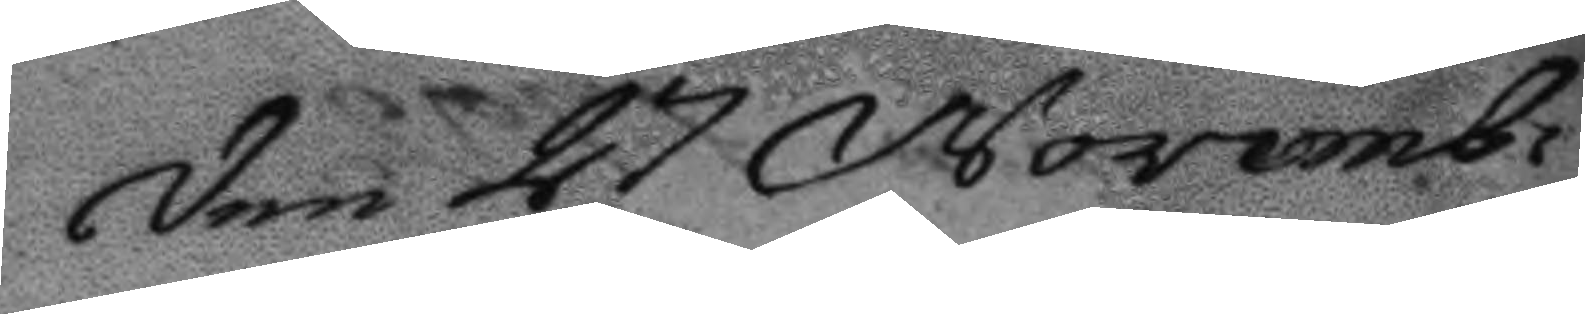Den 27 Novemb:
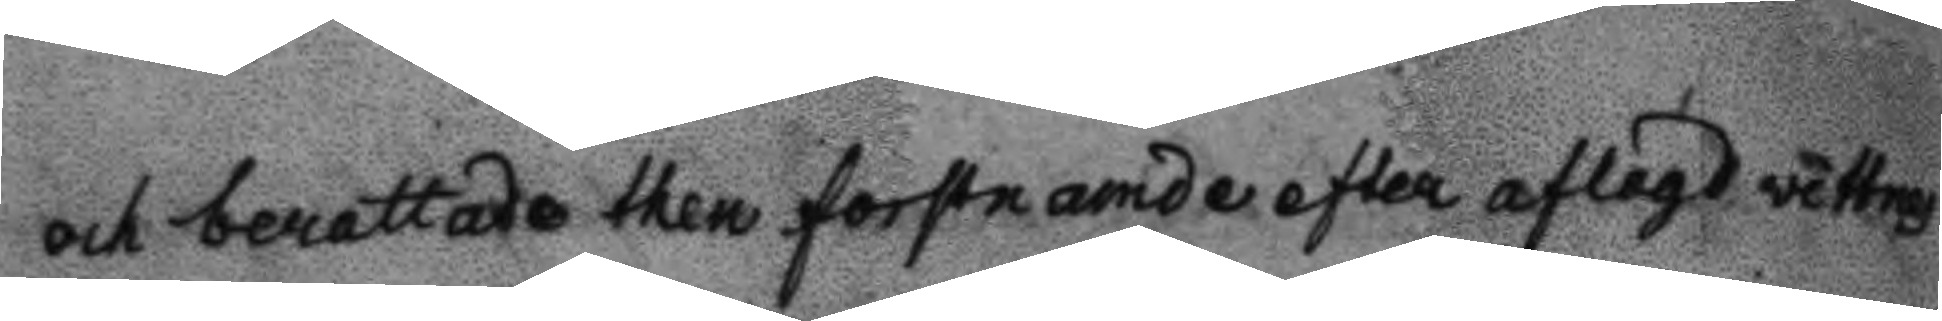och berattade then forstnamde efter aflagd vittnes¬
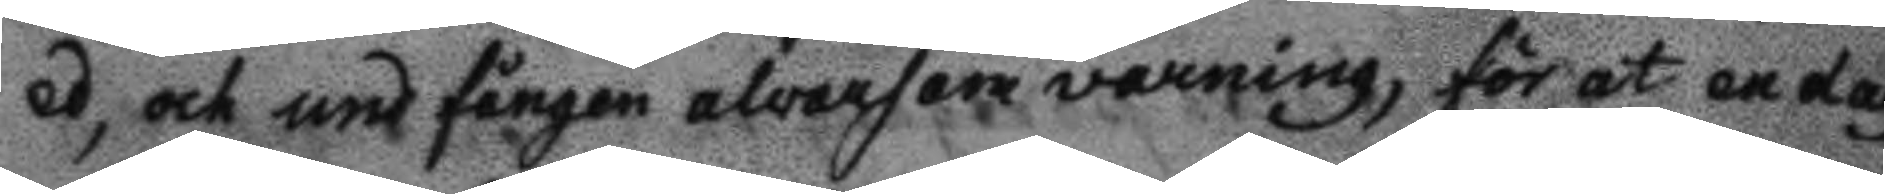ed, och undfången alvarsam varning, för at en dag
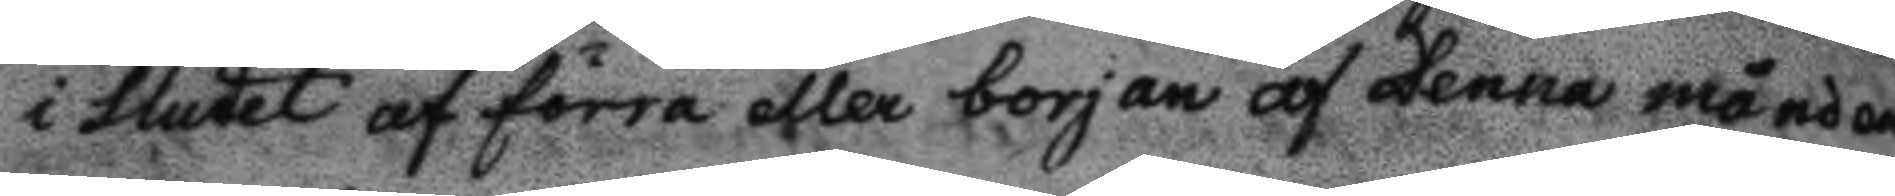i slutet af förra eller borjan af denna månad
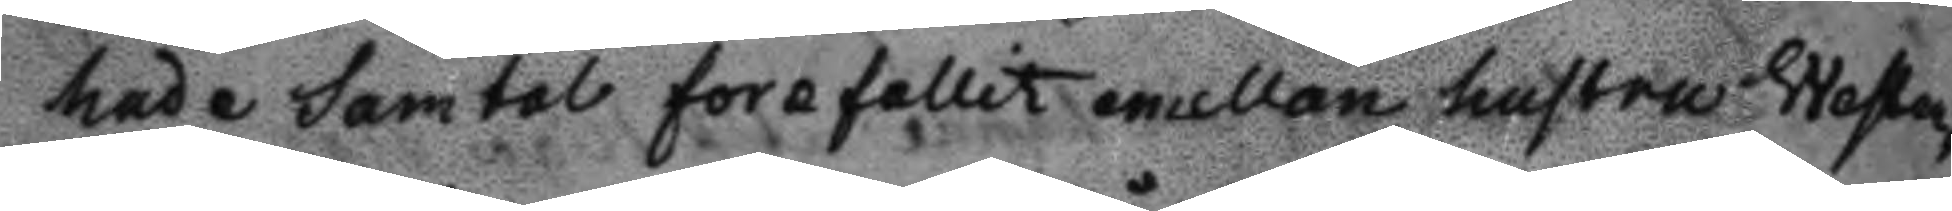hade samtal forefallit emellan hustru Wester¬
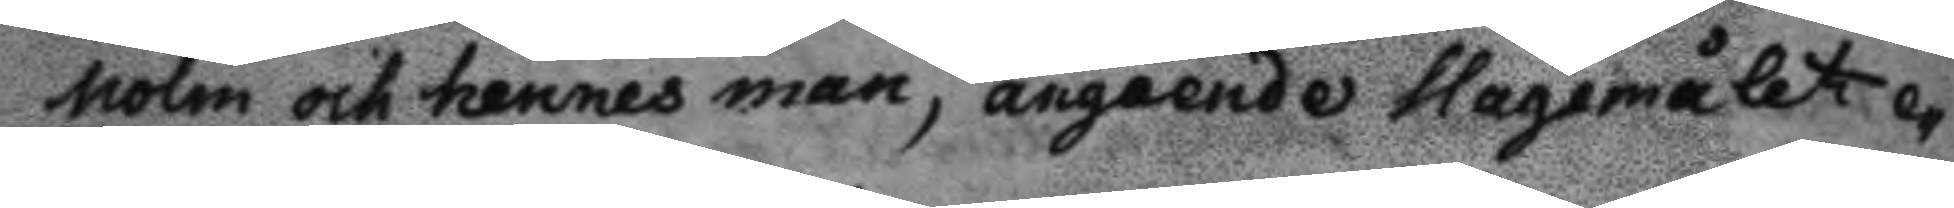holm och hennes man, angående slagsmålet e¬
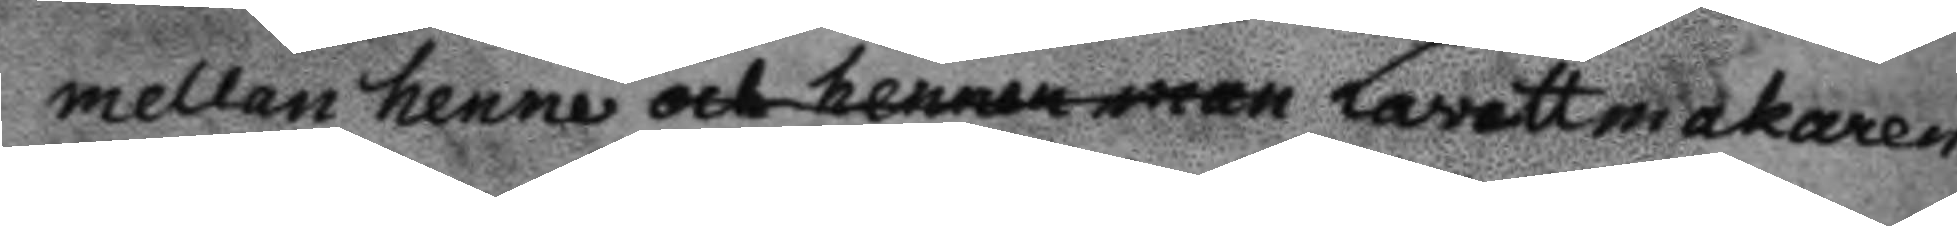mellan henne och hennes man Lavettmakaren
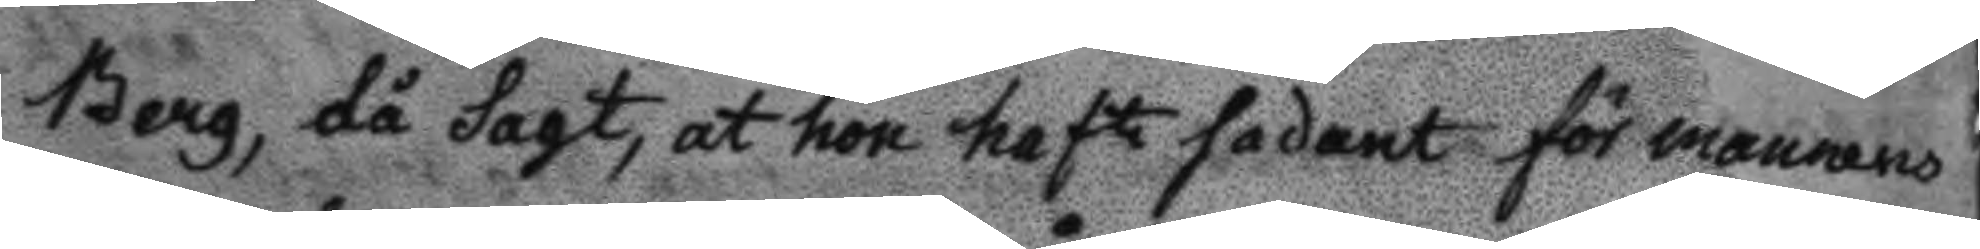Berg, då sagt, at hon haft sadant för mannens
